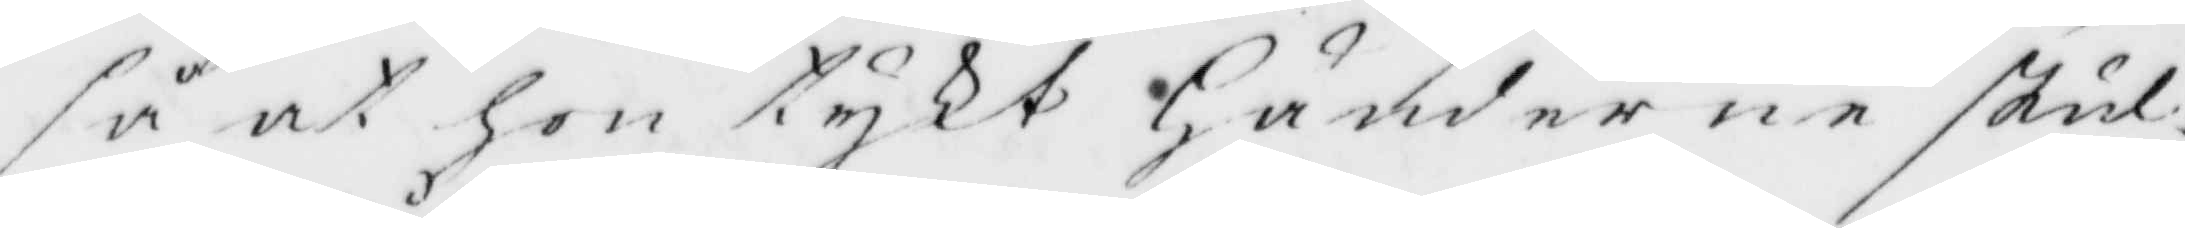så at hon tykt Händerne skul¬
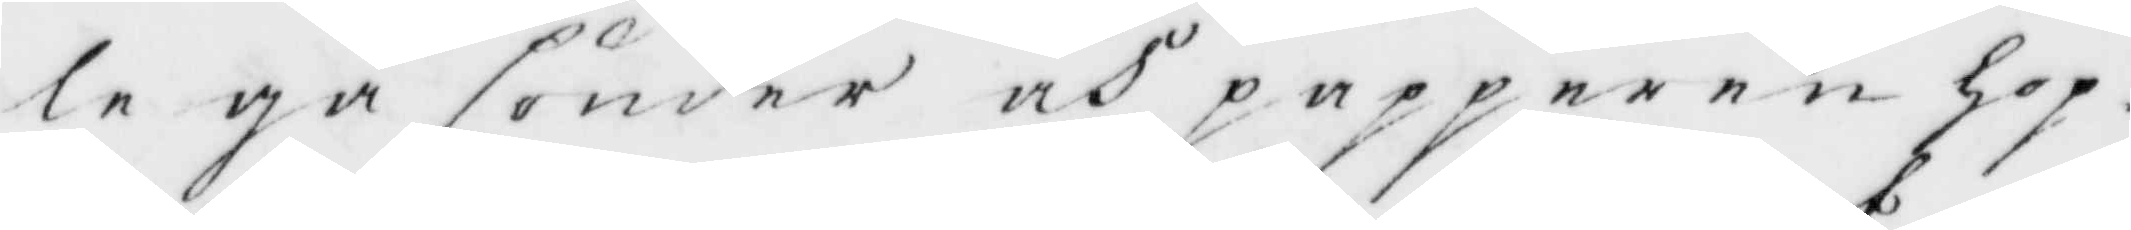le gå sönder och papperen hop¬
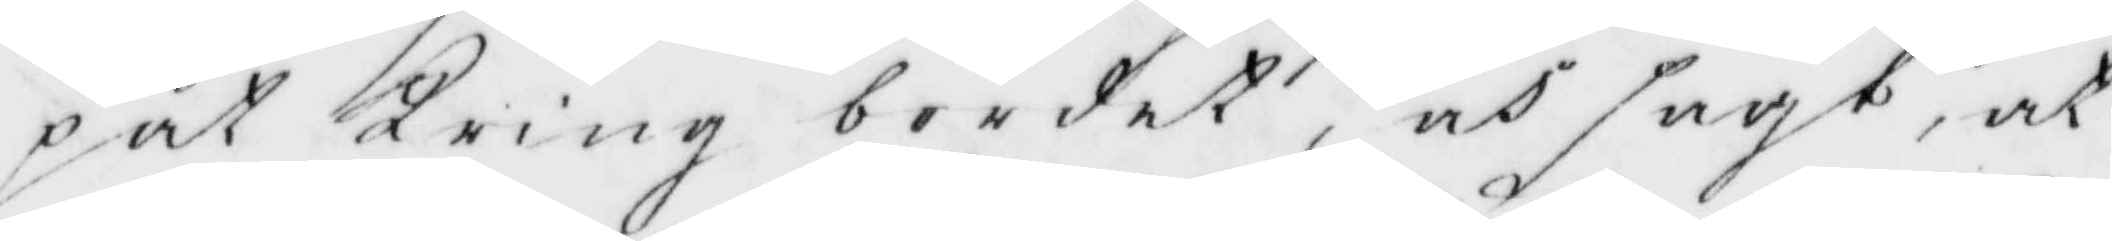pat Kring bordet, och sagt, at
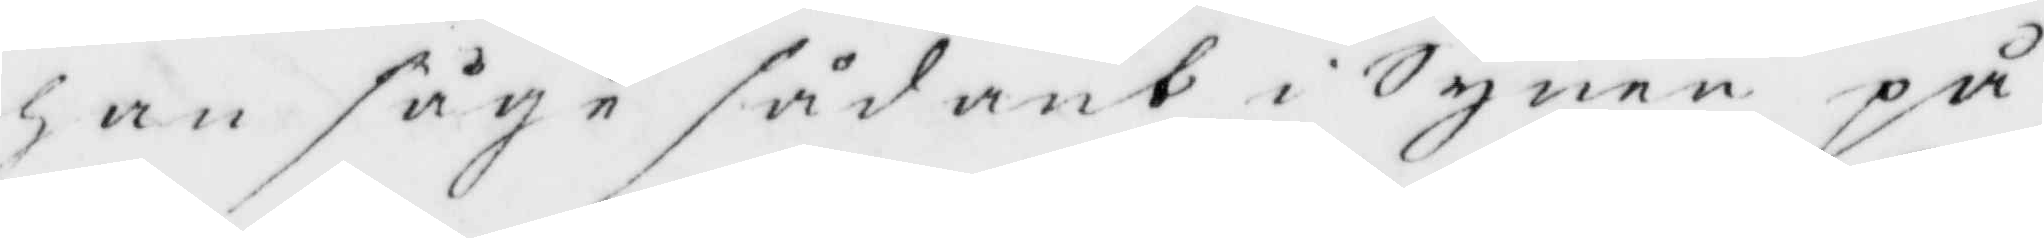han såge sådant i Synen på
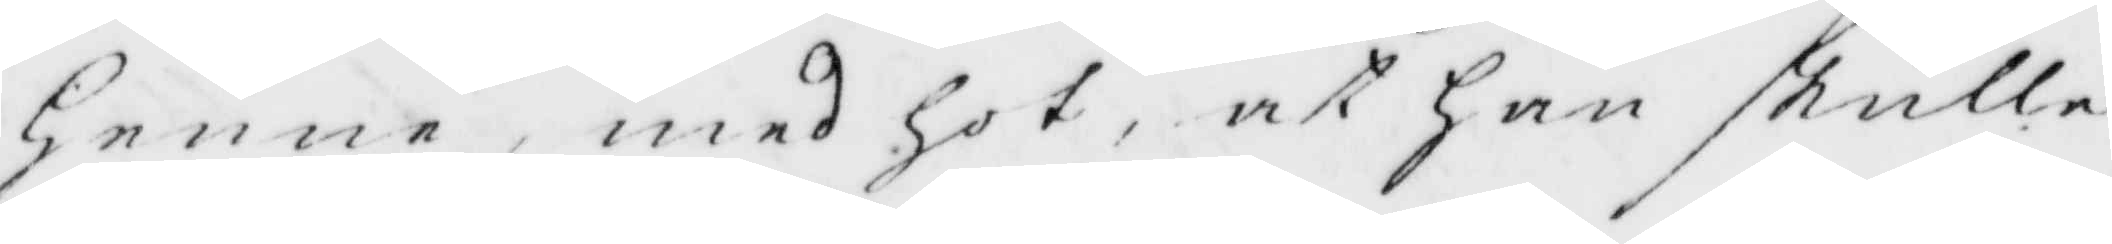Henne, med hot, at han skulle
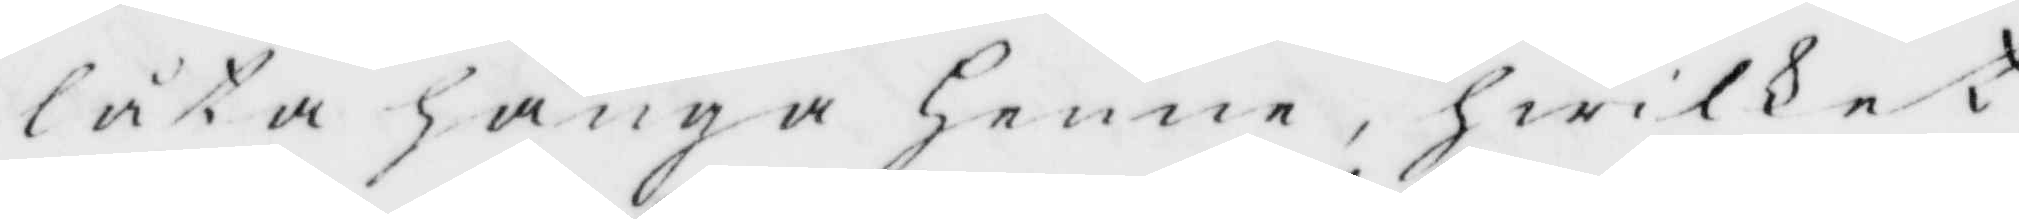låta hänga henne, hwilket
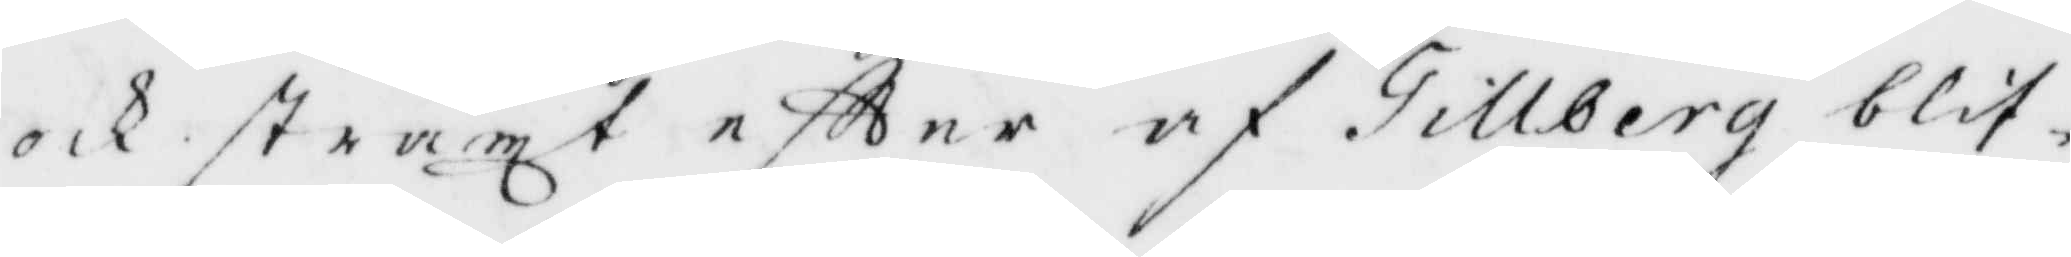och straxt eftter af Tillberg blif¬
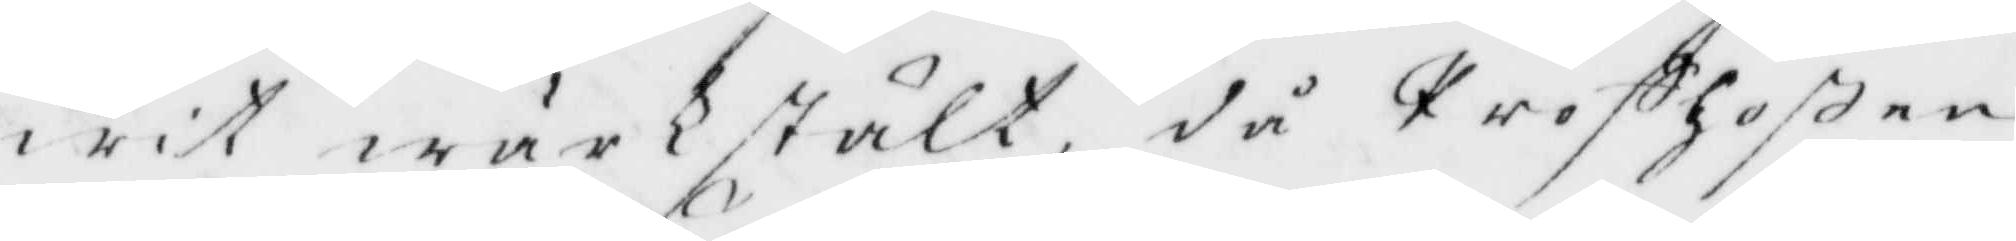wit wärkstältl, då Profhoßen
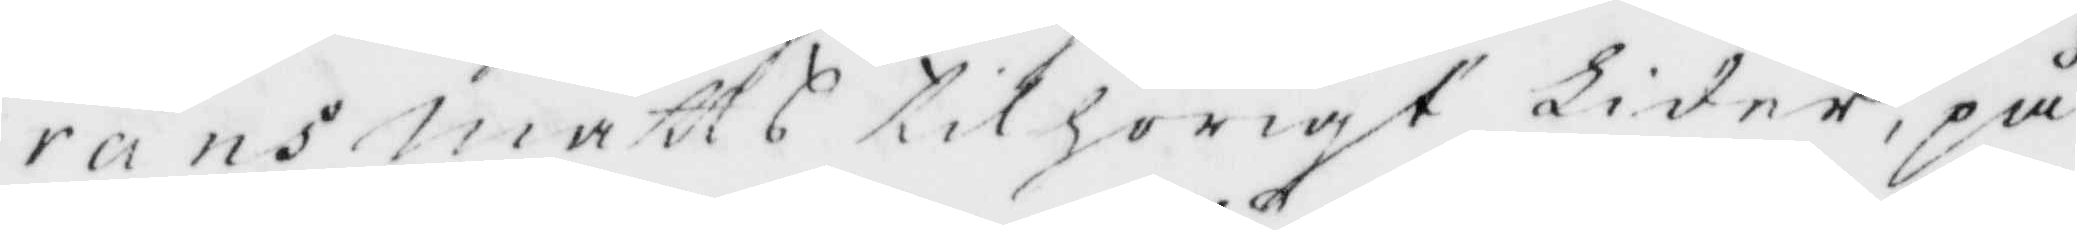rans Matts tilhörigt Lider, på
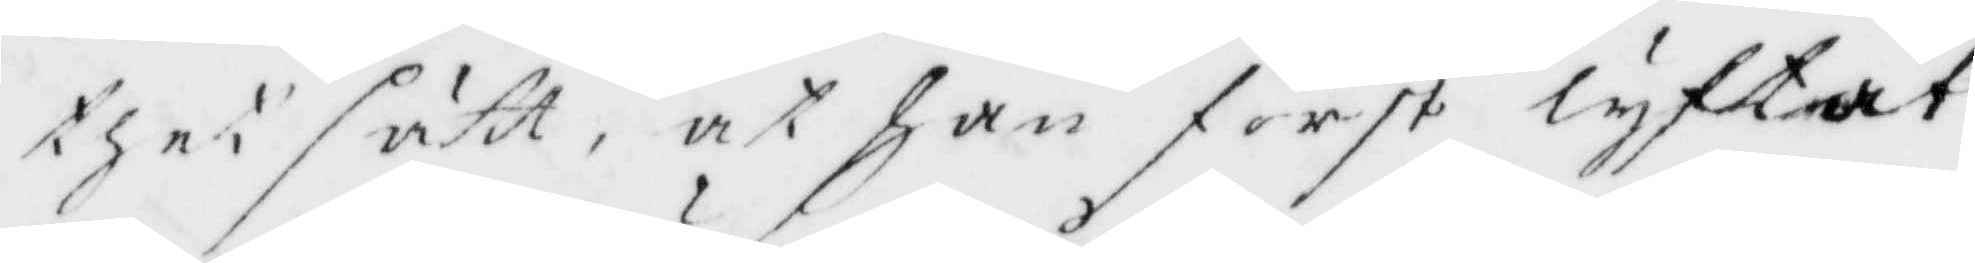thet sätt, at han först lyftat
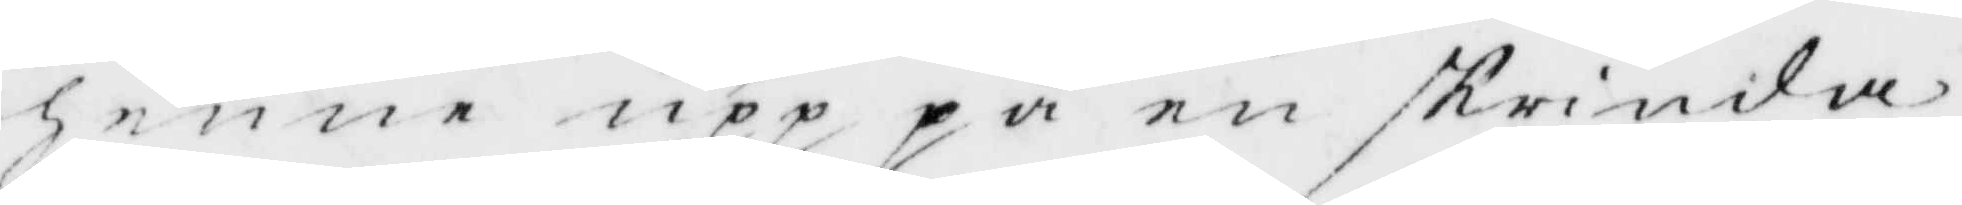henne upp på en skrinda,
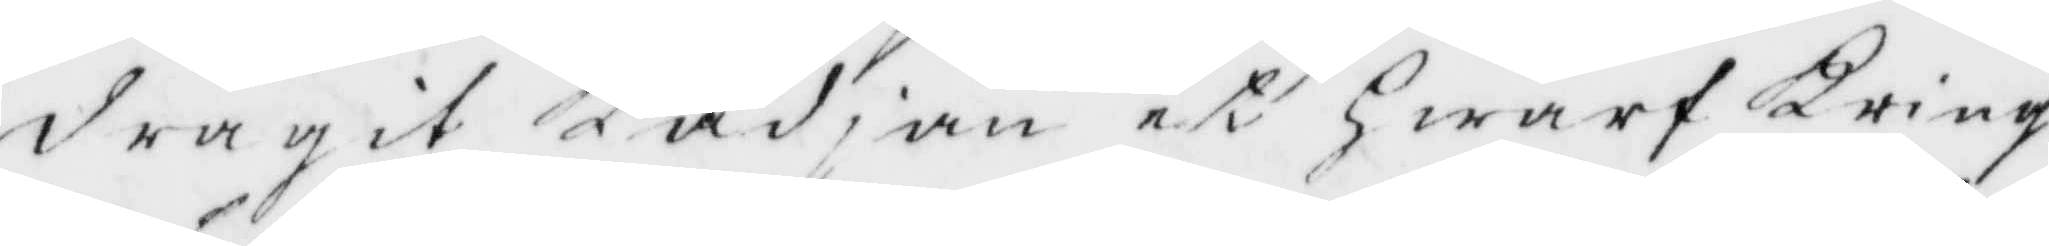dragit Kädjan et hwarf Kring
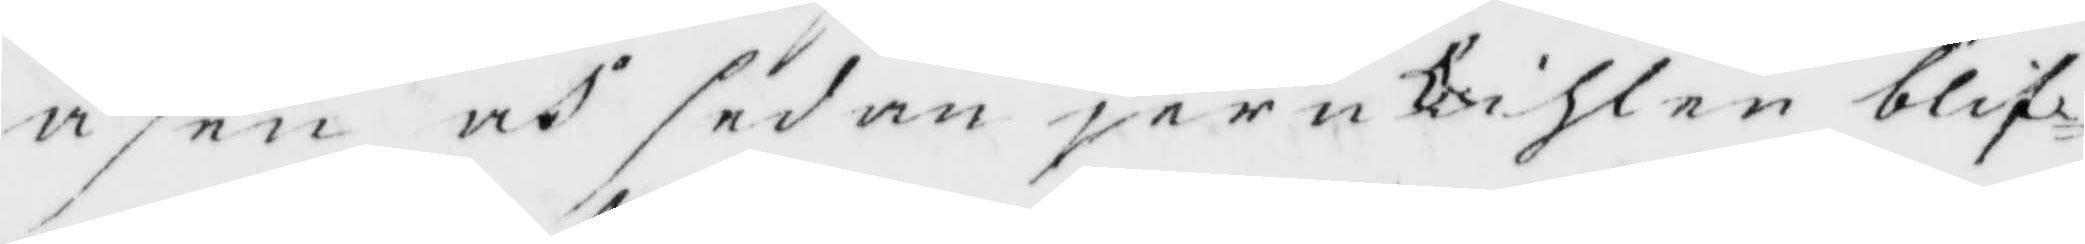åsen och sedan jernkihlen blif¬
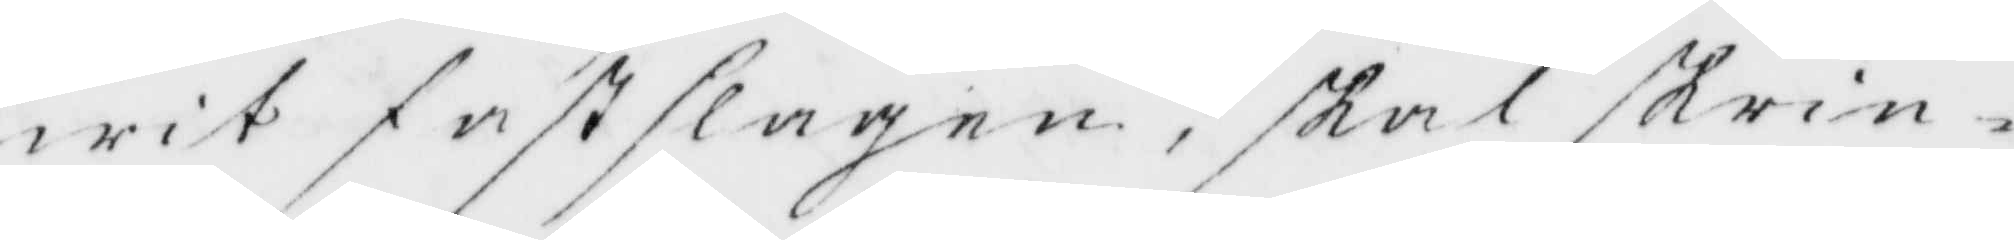wit fastslagen, skal skrin¬
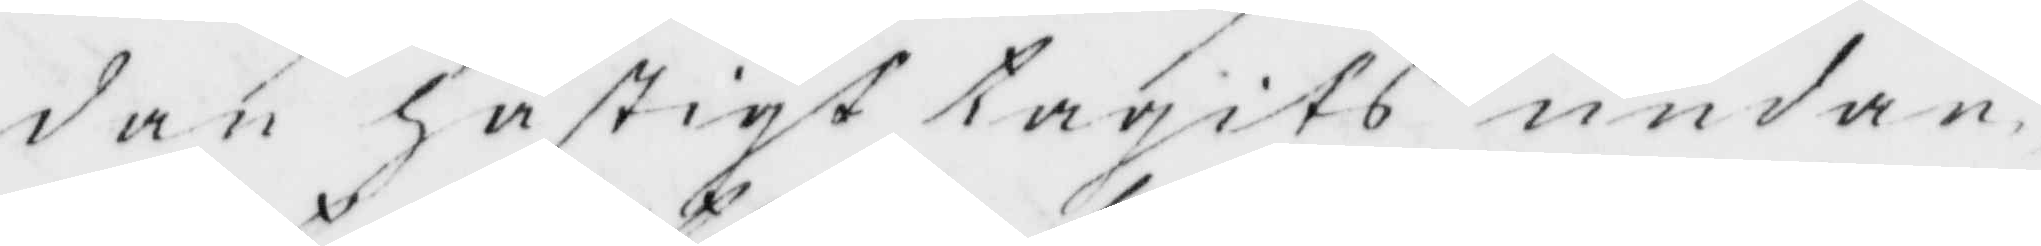dan hastigy tragits undan,
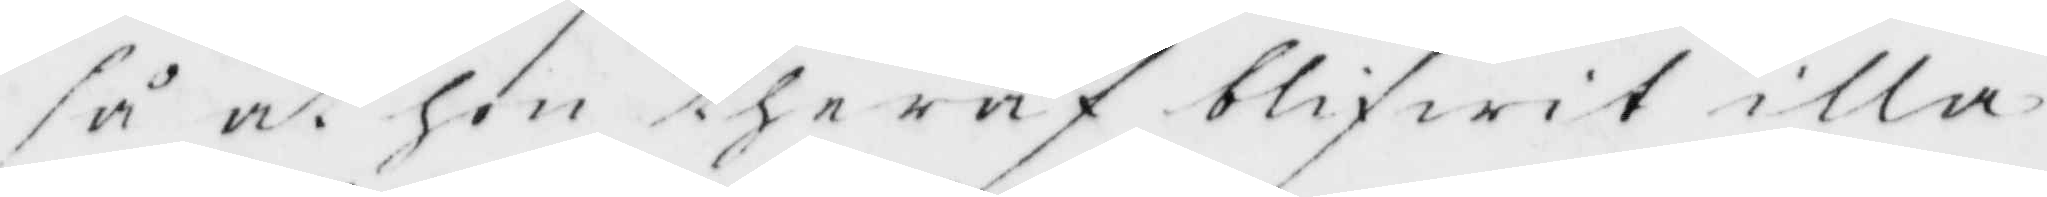så at hon ther af blifwit illa
